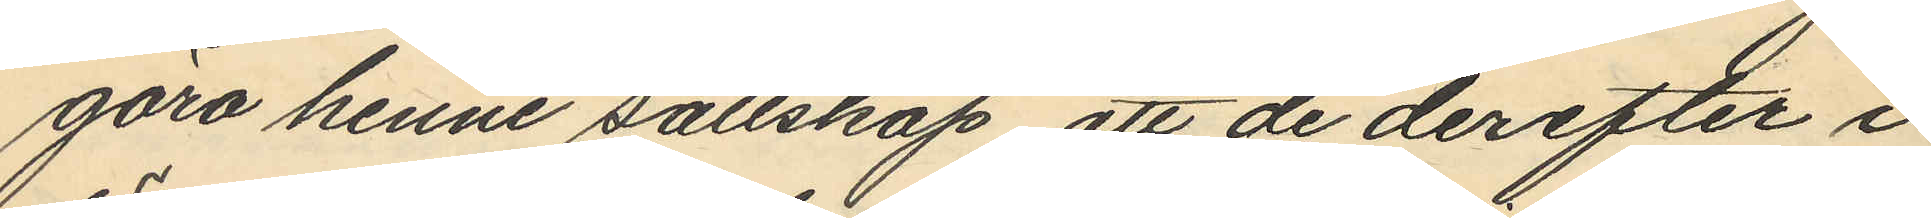göra henne sällskap att de derefter i
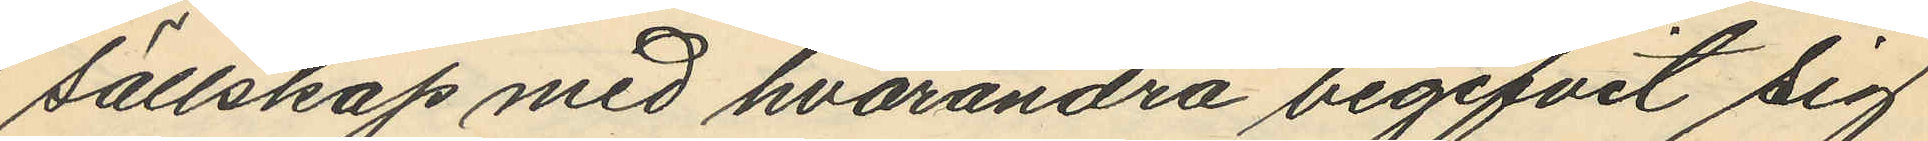sällskap med hvarandra begifvit sig
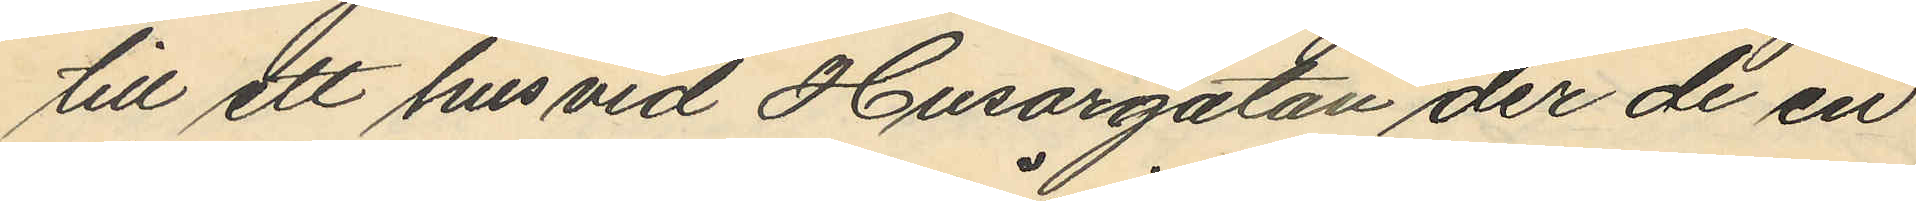till ett hus vid Husargatan der de en
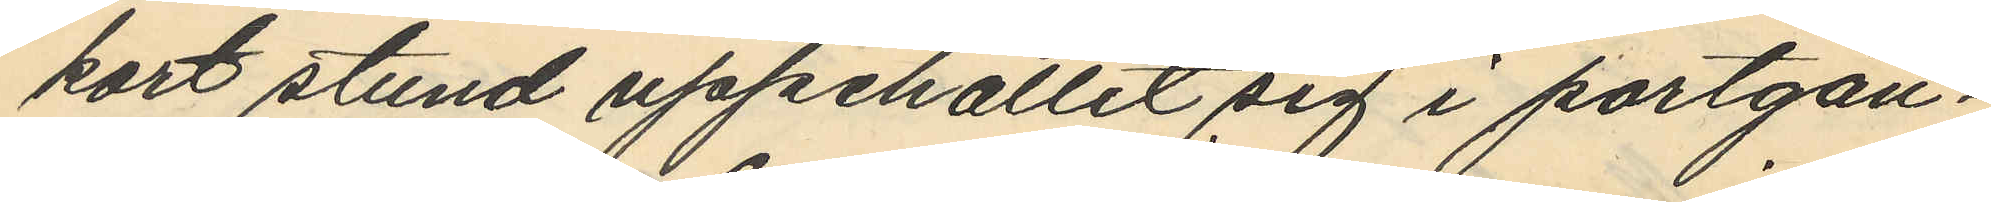kort stund uppehållit sig i portgån¬
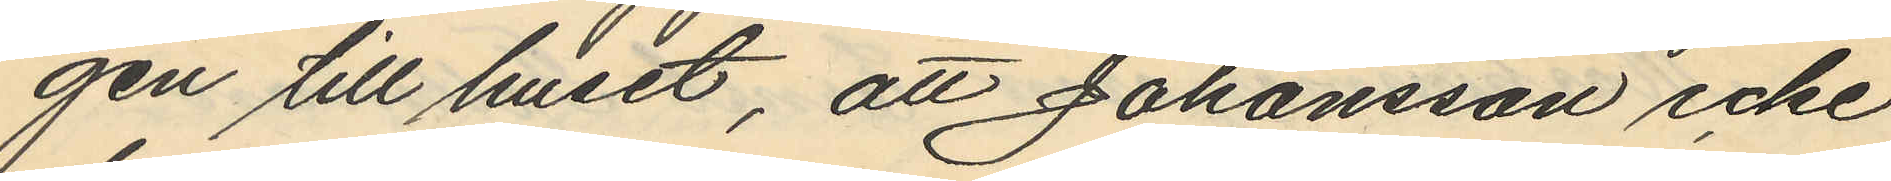gen till huset, att Johansson icke
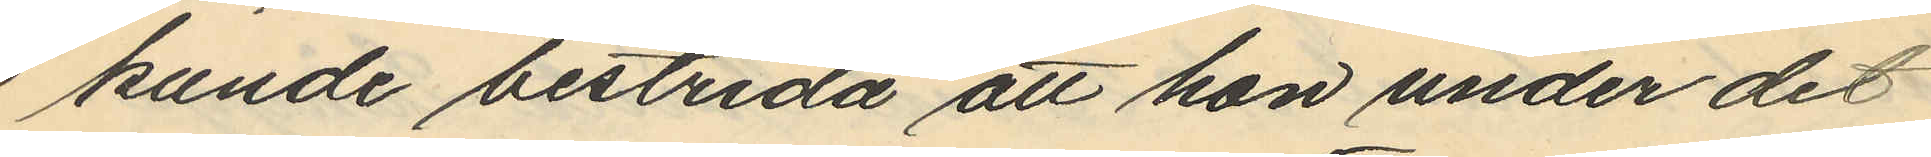kunde bestrida att hon under det
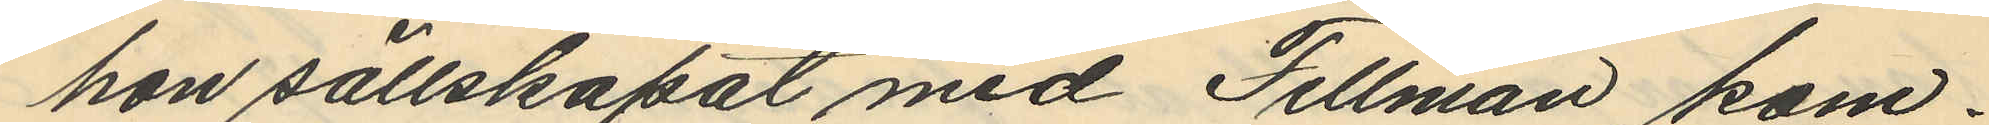hon sällskapat med Fellman kom¬
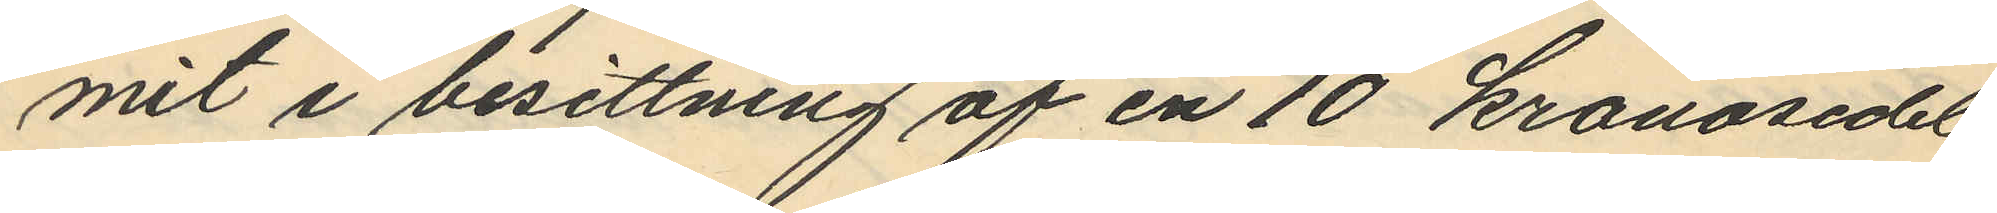mit i besittning af en 10 kronosedel
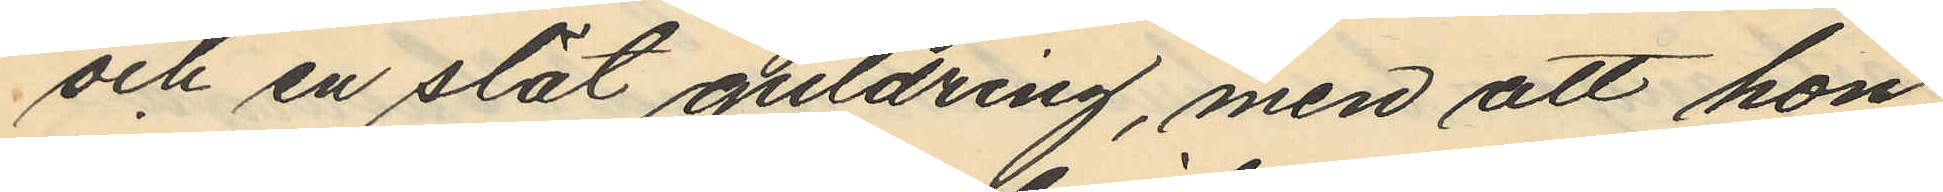och en slät guldring, men att hon
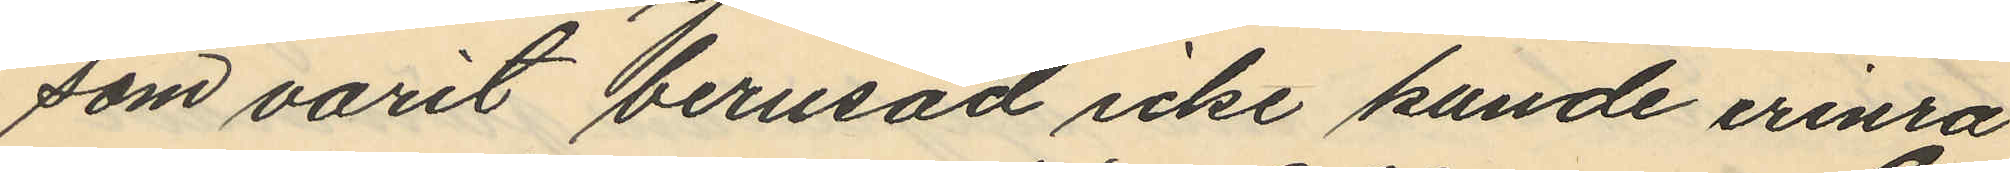som varit berusad icke kunde erinra
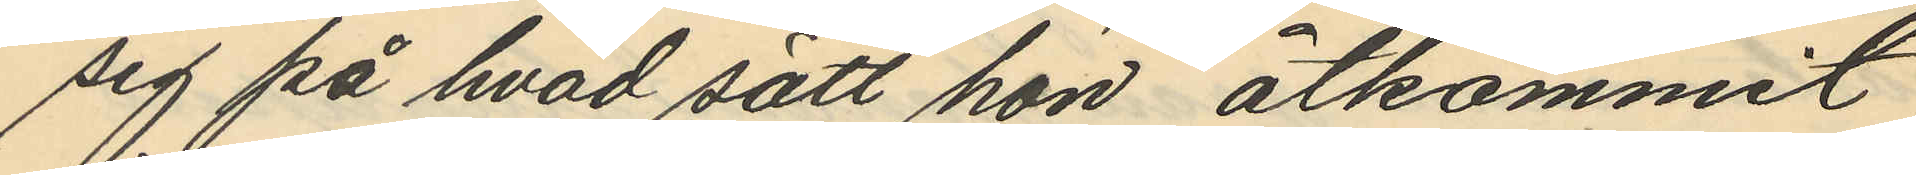sig på hvad sätt hon åtkommit
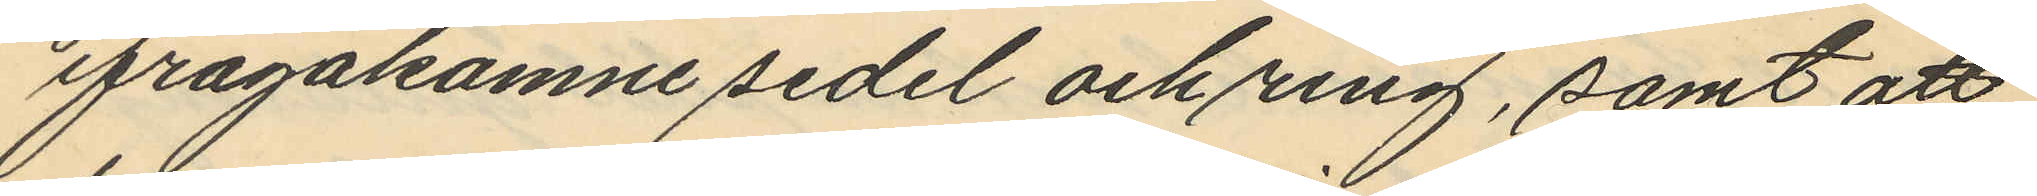ifrågakomne sedel och ring, samt att
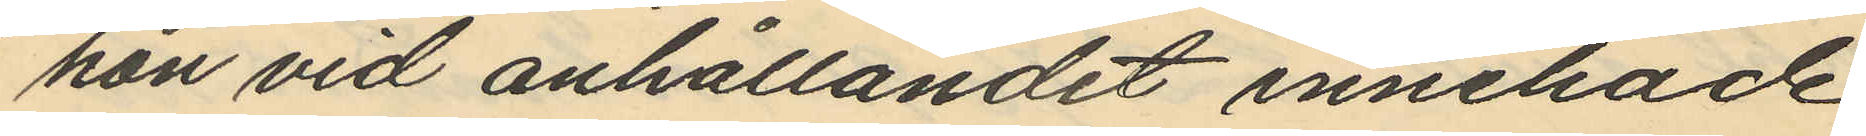hon vid anhållandet innehade
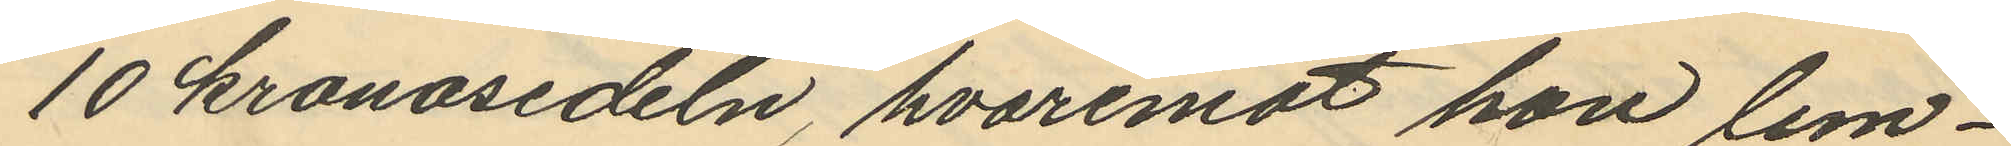10 kronosedeln, hvaremot hon lem¬
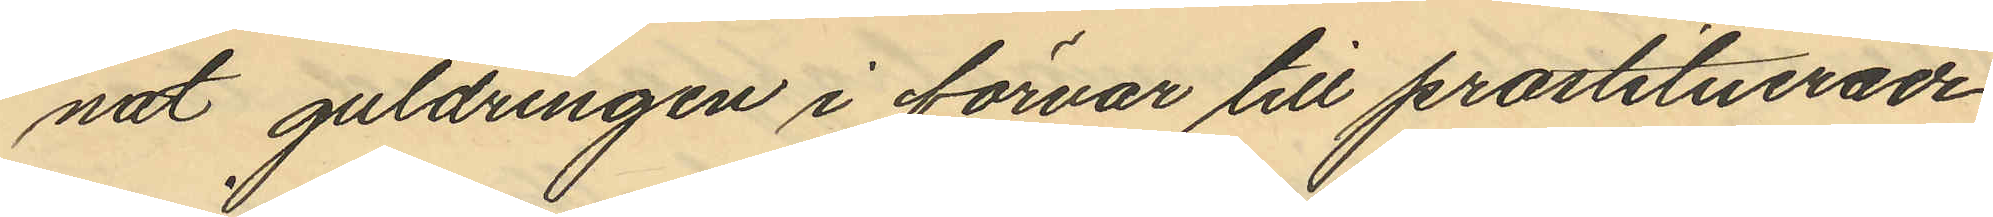nat guldringen i förvar till prostituerade
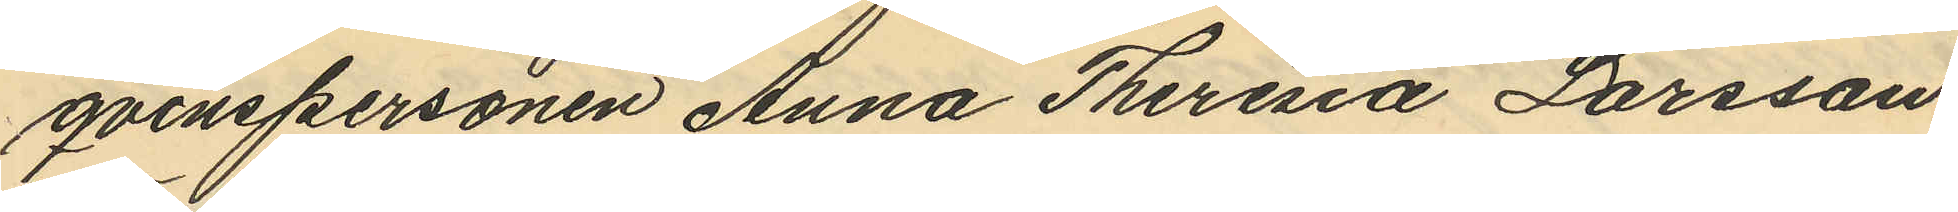qvinspersonen Anna Theresia Larsson
